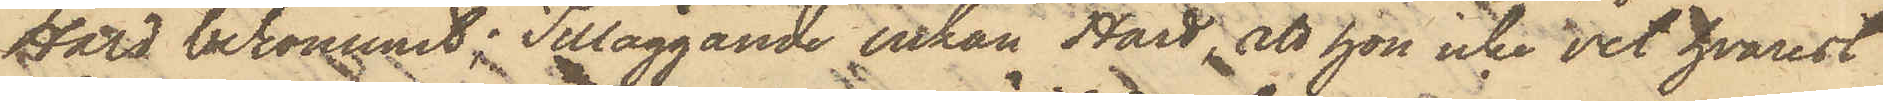Hård bekommit; Tilläggande Enkan Hård, att hon icke vet hvarest
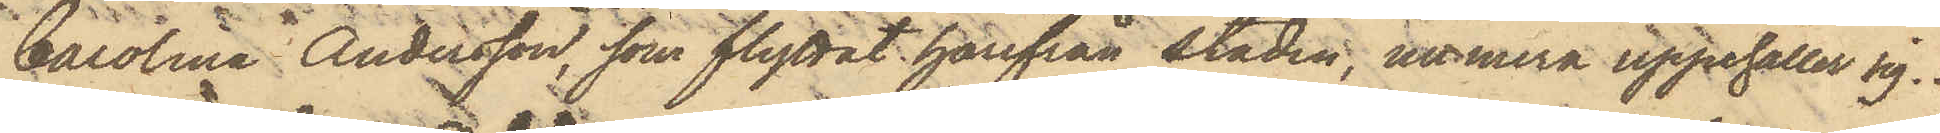Carolina Andersson, som flyttat härifrån staden, numera uppehåller sig.
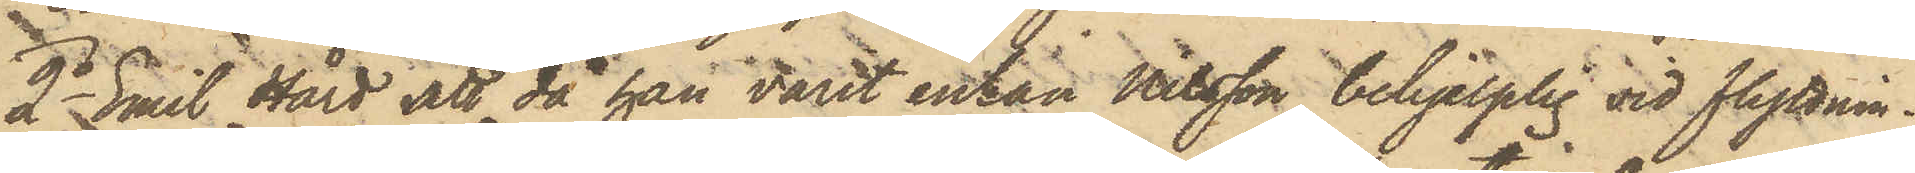2o Emil Hård att då han varit enkan Nilsson behjelplig vid flyttnin¬
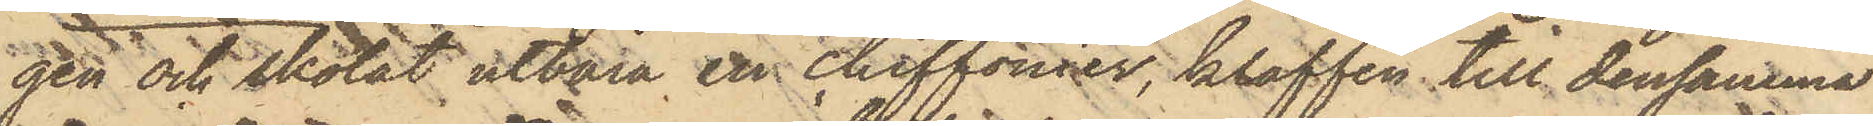gen och skolat utbära en chiffonier, klaffen till densamma
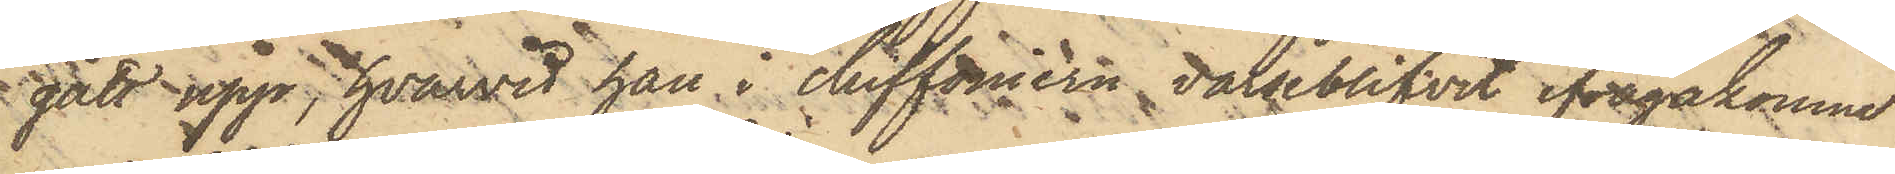gått upp, hvarvid han i chiffoniern varseblifvit ifrågakomne
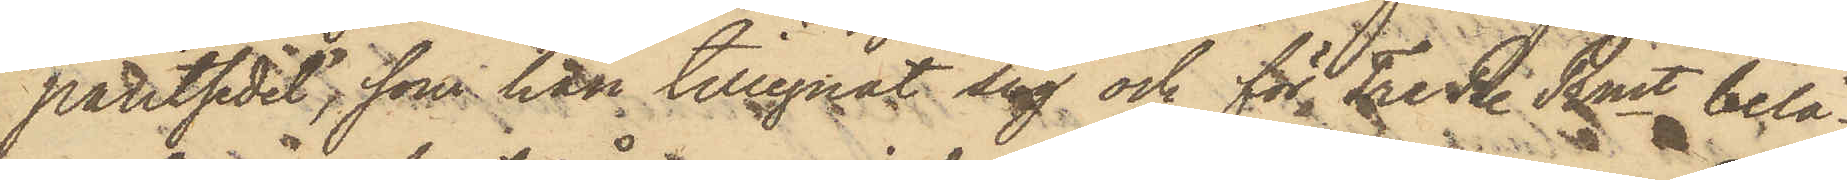pantsedel, som han tillegnat sig och för Tre R. Rmt belå¬
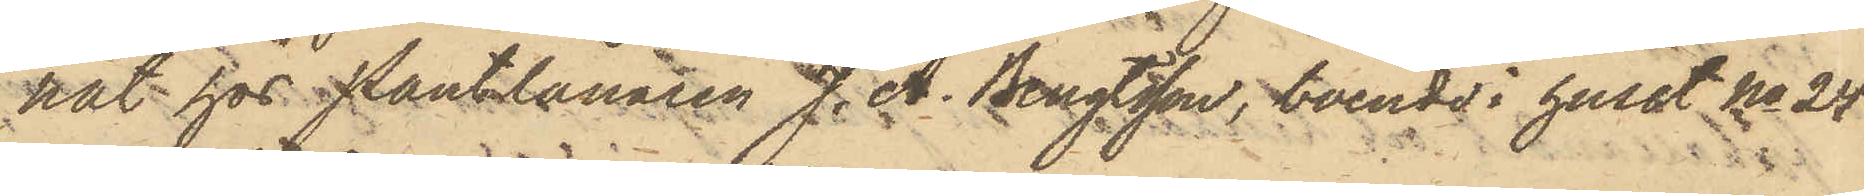nat hos Pantlånaren J. A. Bengtsson, boende i huset No 24
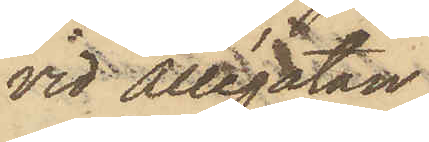vid Allégatan.
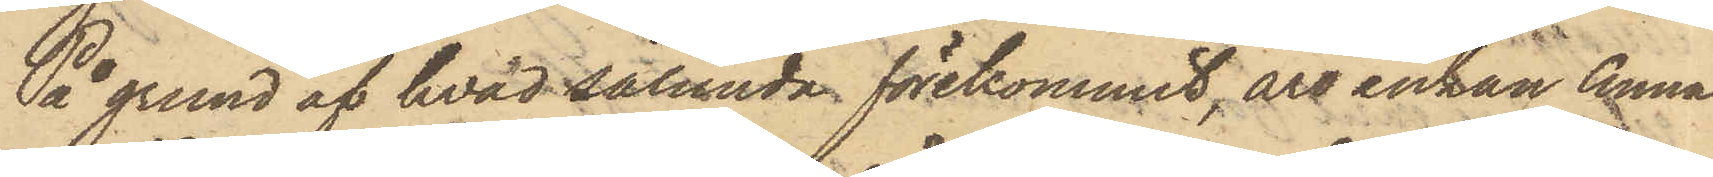På grund af hvad sålunda förekommit, äro enkan Anna
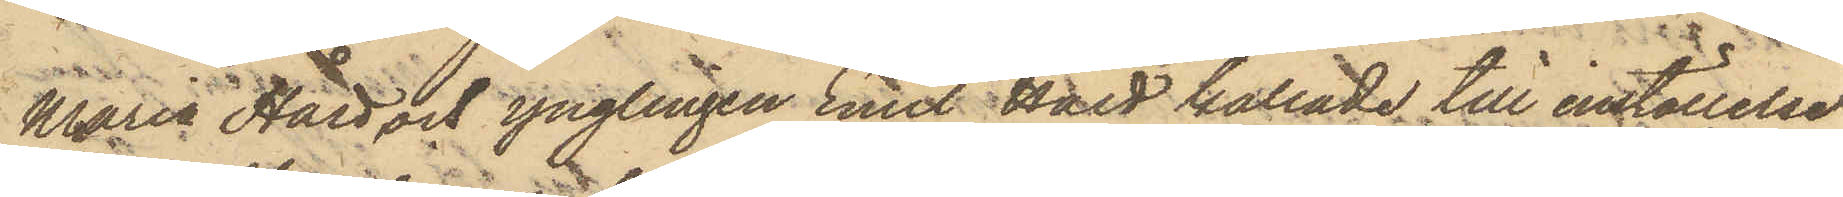Maria Hård och ynglingen Emil Hård kallade till inställelse
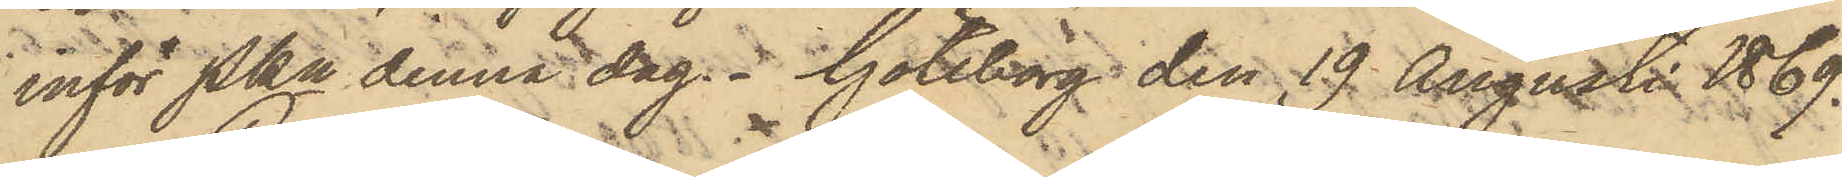inför Pkn denna dag.  Göteborg den 19 Augusti 1869.
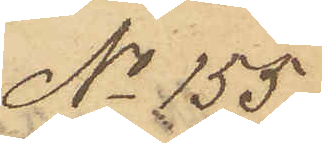No 155.
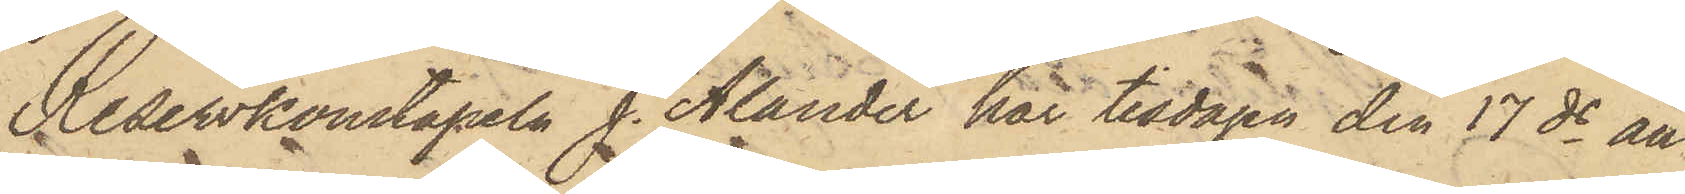Reservkonstapeln J. Alander har tisdagen den 17 ds an¬
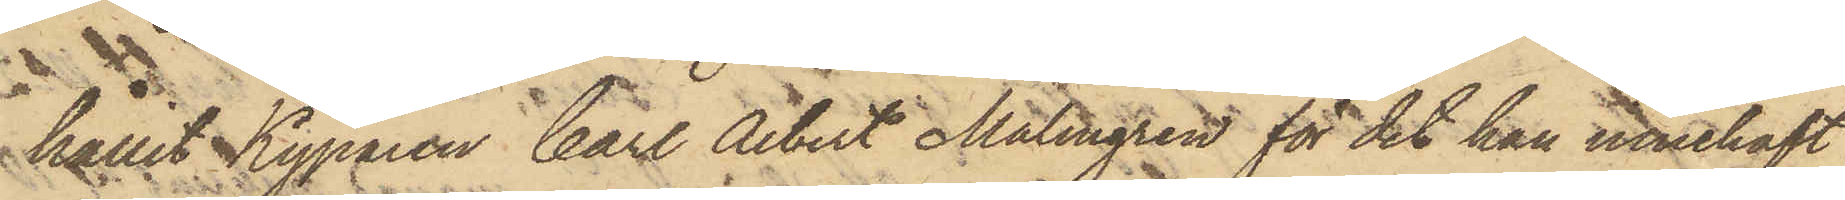hållit Kyparen Carl Albert Malmgren för det han innehaft
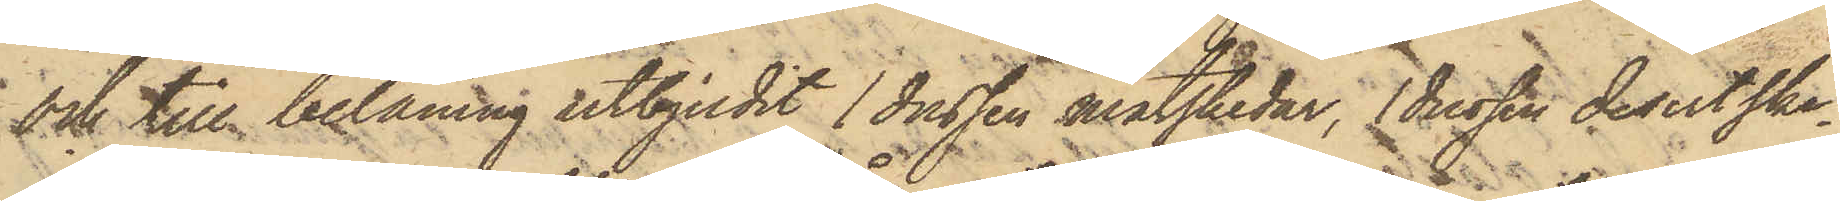och till belåning utbjudit 1 dussin matskedar, 1 dussin desertske¬
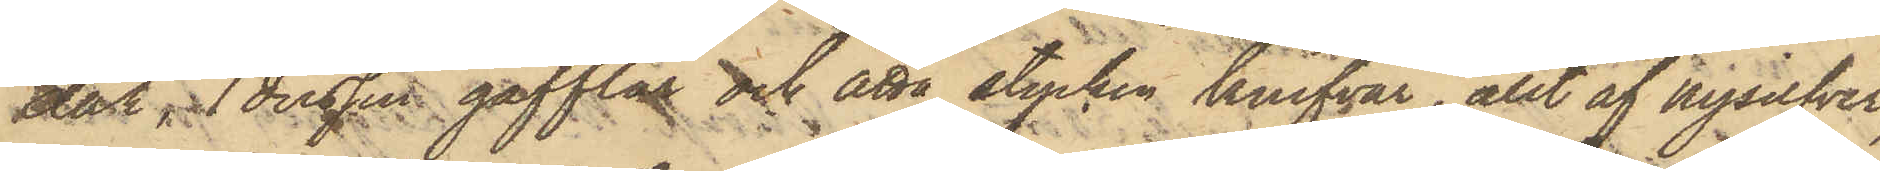dar, 1 dussin gafflar och åtta stycken knifvar, allt af nysilfver,
